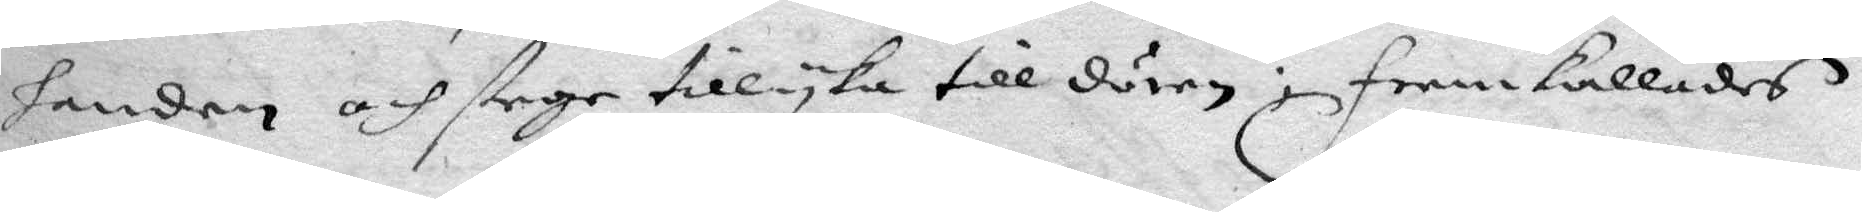handen och stege tillyka till dörren; framkallades
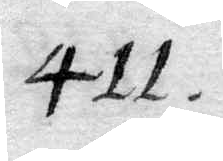411.
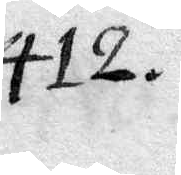412.
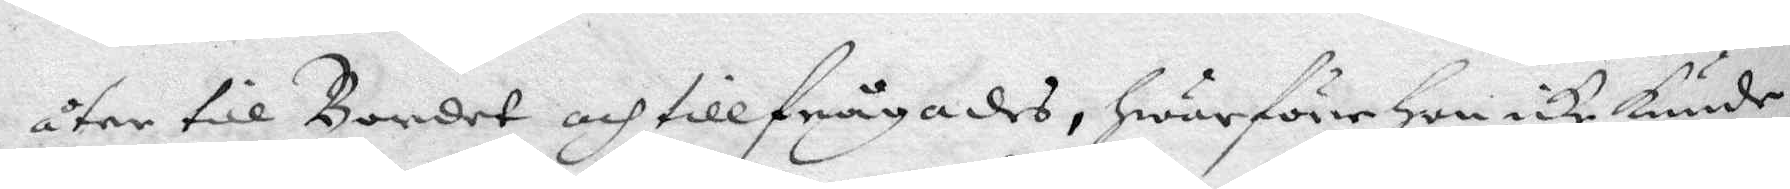åter till Bordet och tillfrågades, hwarföre Hon icke kunde
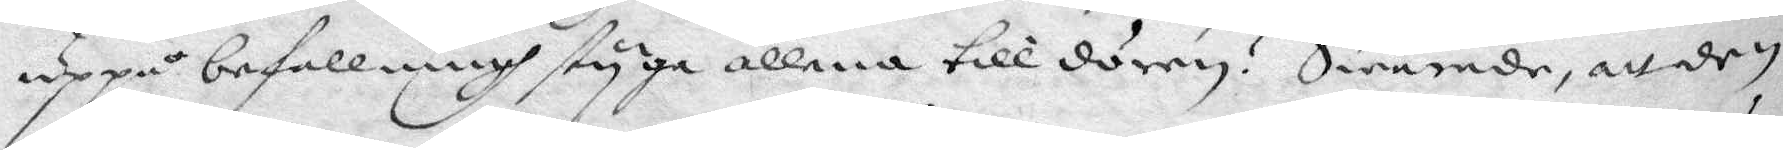uppå befallningh styga allena till dörren? Swarade, att den
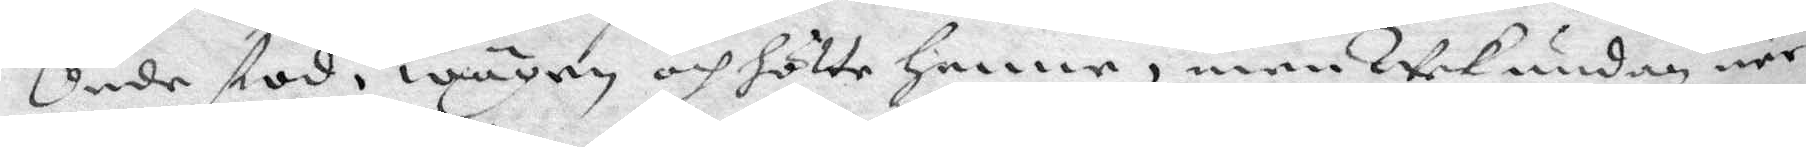Onde stod i wägen och hölte henne, men Wek undan när
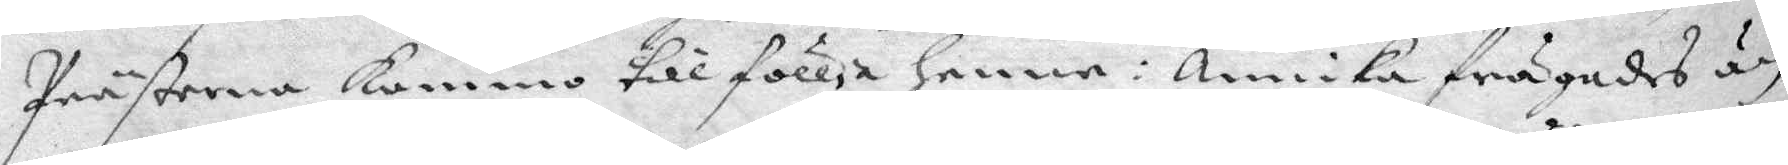Prästerna kommo till föllja henne: Annika frågades än
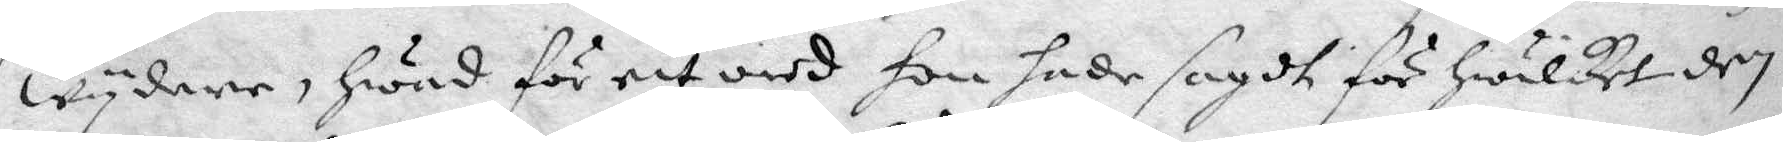wydare, Hwad för ett ord hon hade sagdt för hwilket den
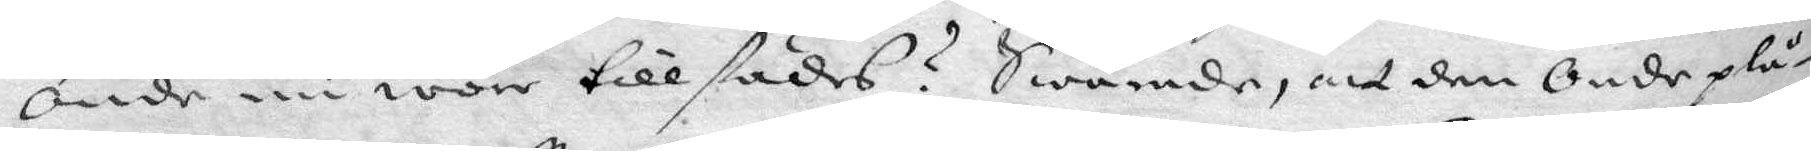Onde nu wore tillstädes? Swarade, att den Onde plå¬
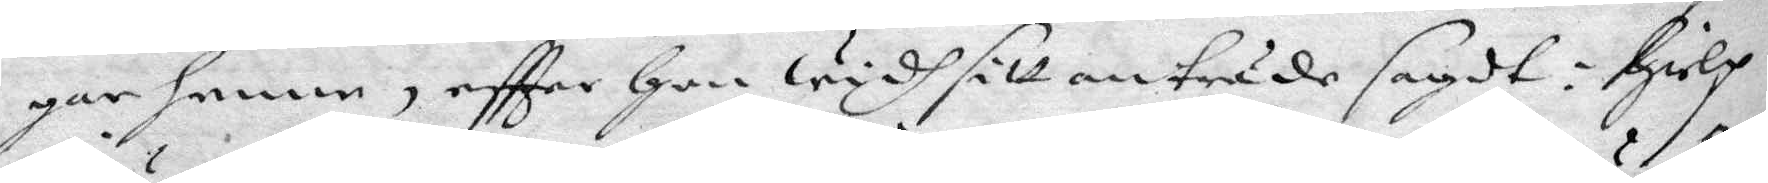gar henne, eftter Hon widh sitt anträde sagdt: Hielp
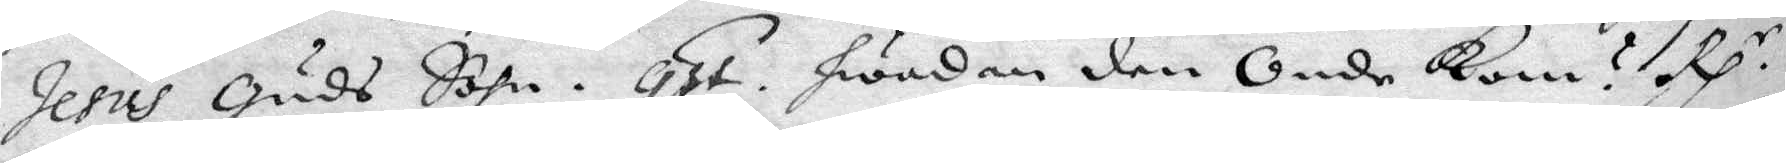Jesus Guds Sohn. qst. hwadan den Onde kom? Rp.r
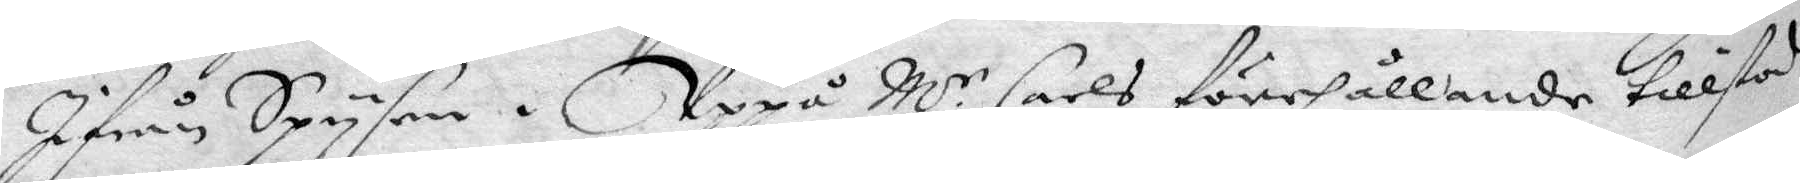Ifrån Spysen. Uppå M.r Carls förehållande tillstod
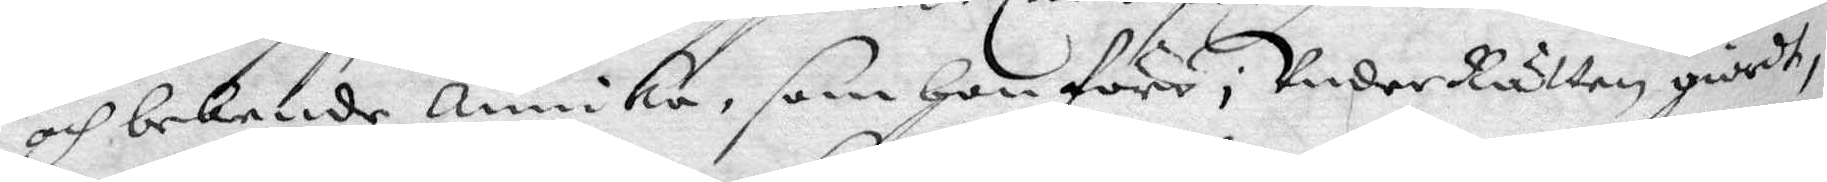och bekende annika, som Hon före i Under Rätten giordt,
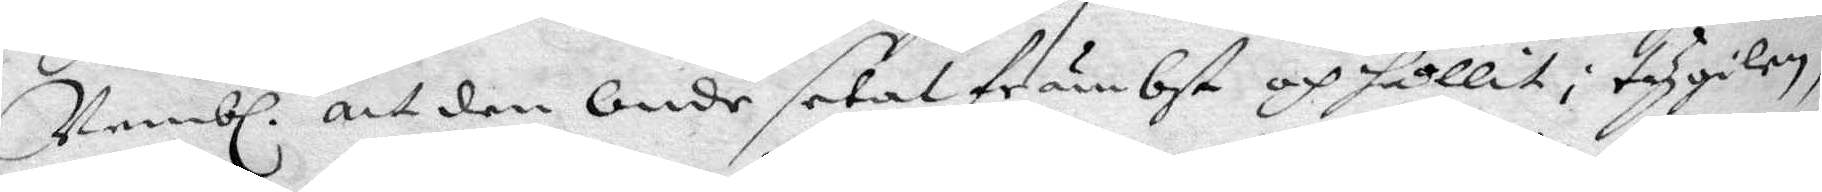Nembl. att den Onde setat främbst och hållit i tygilen,
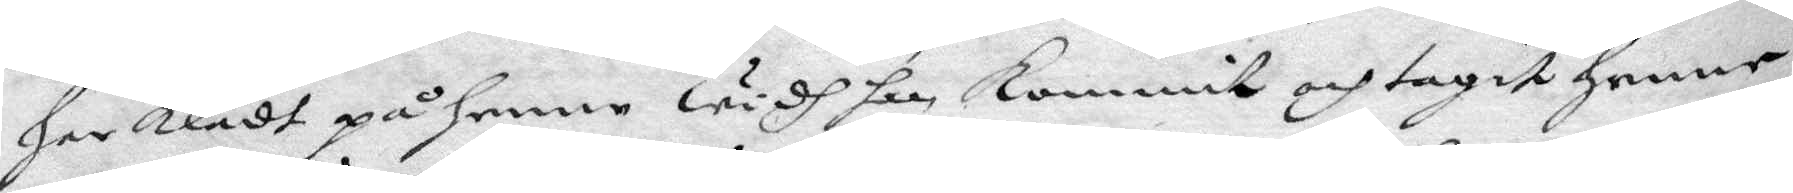har klädt på henne widh han kommit och tagit henne
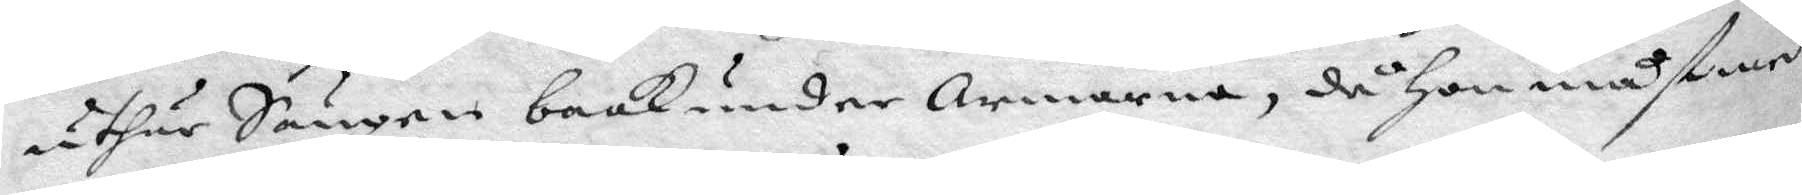uthur Sängen baak under Armarna, då Hon måst med
